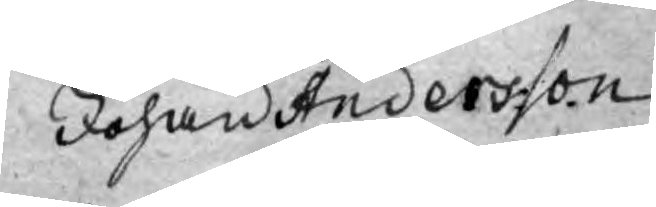Johan Andersson
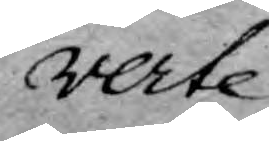verte
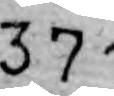371
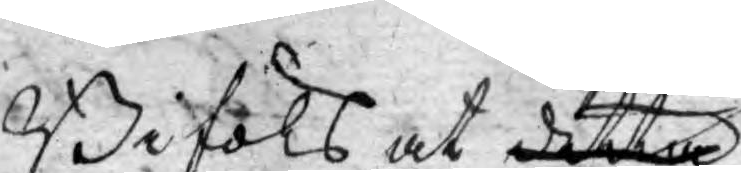Biföls at detta 
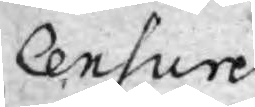Censuren
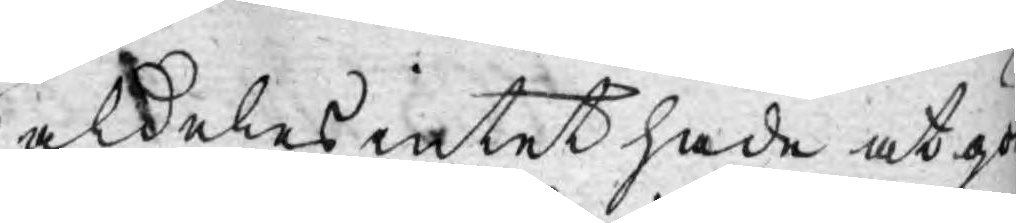aldeles intet hade at gör 
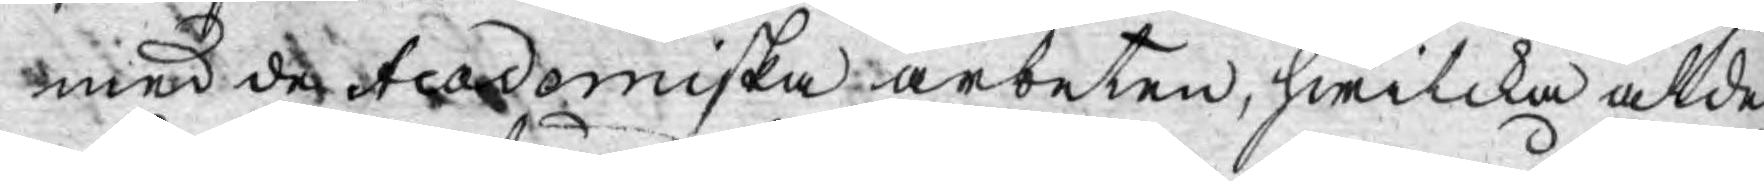med de Academiska arbeten, hwilka aldel
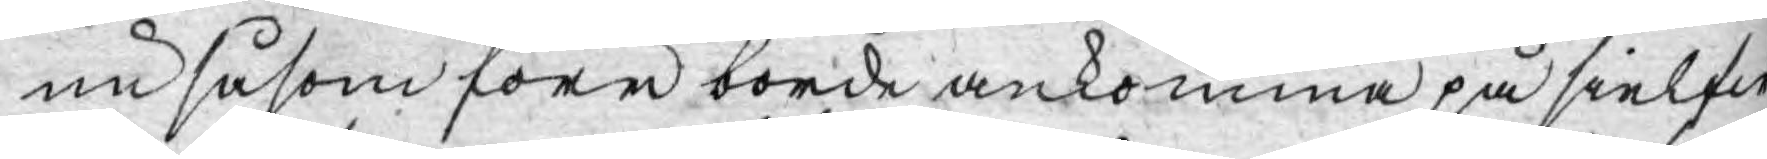nu såsom före borde ankomma på sielfw
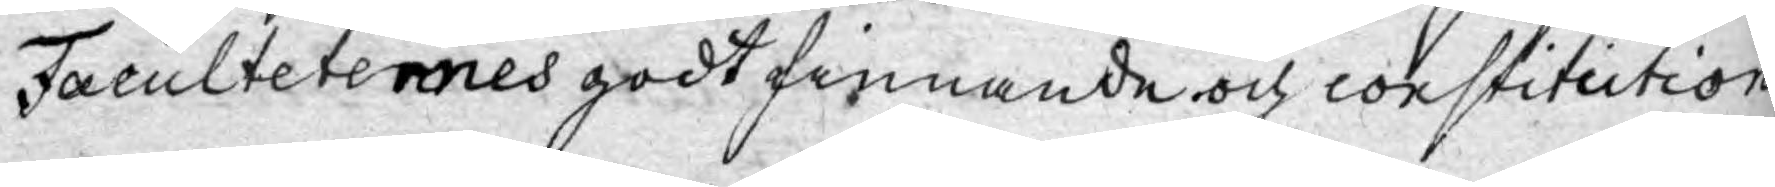Faculteternes godt finnande och constitution¬
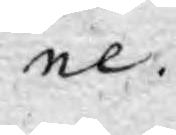ne.
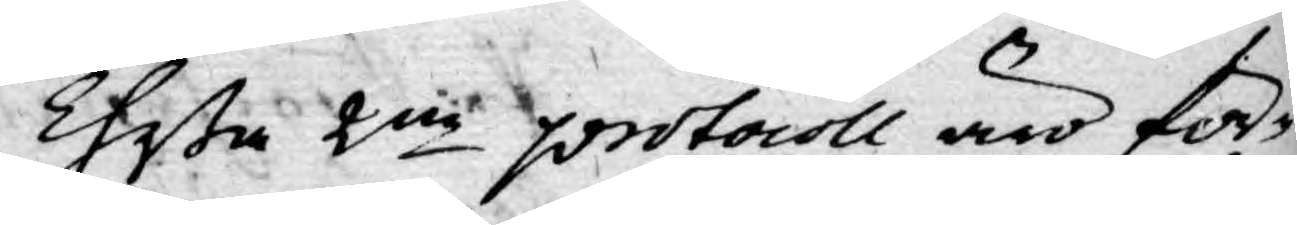Theßa 2ne protocoll äro för¬
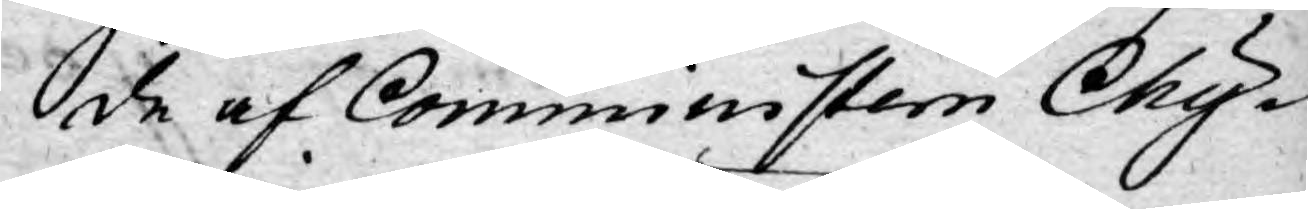de af Comministern Chy¬
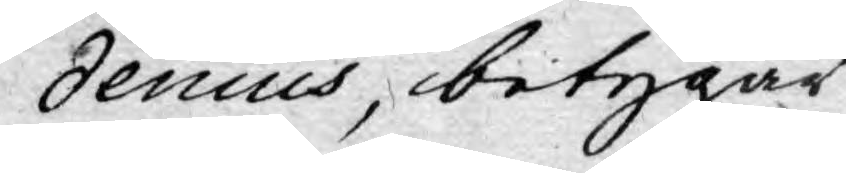denius, betygar
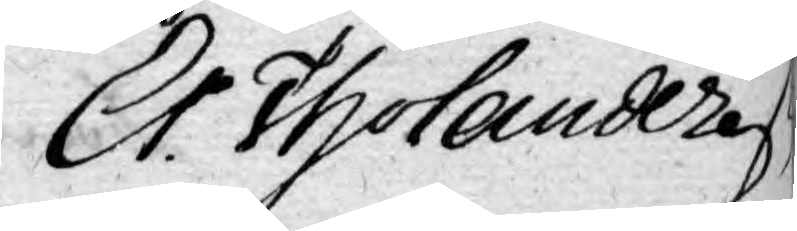Er. Tholander
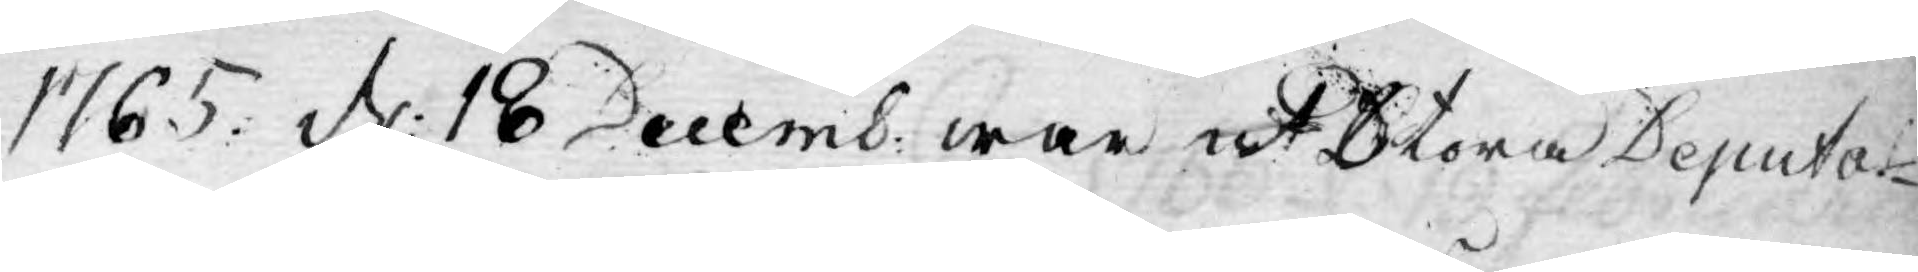1765. d: 18 Decemb: war uti Stora Deputar-
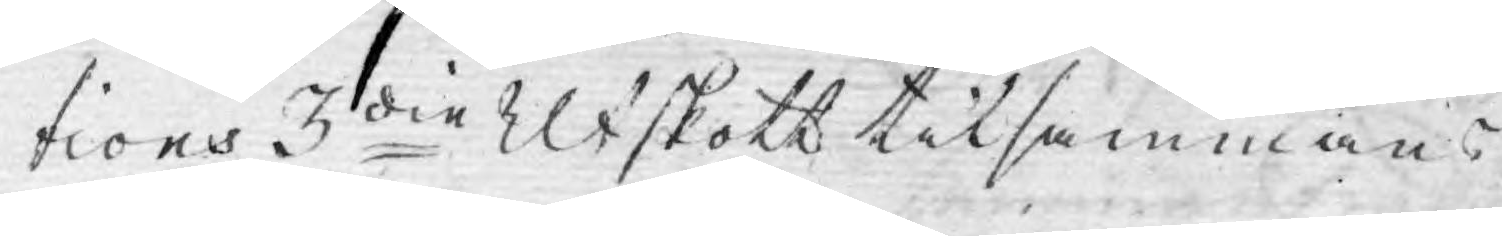tions 3die Utskott tilsammans
